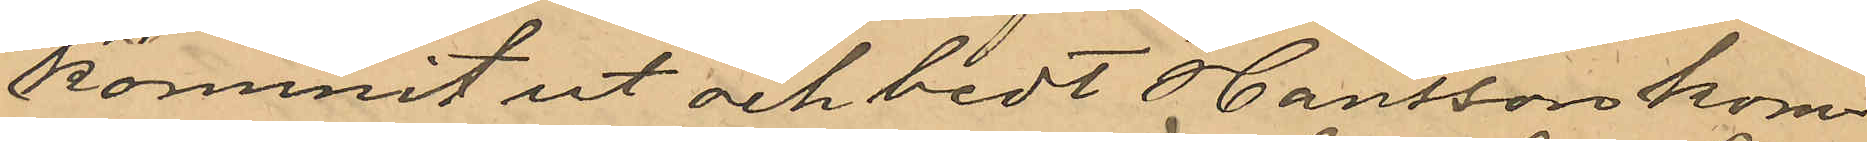kommit ut och bedt Hansson kom¬
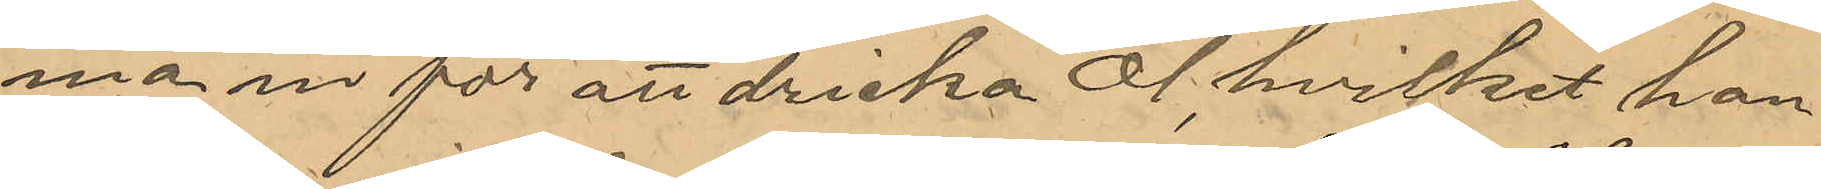ma in för att dricka öl, hvilket han
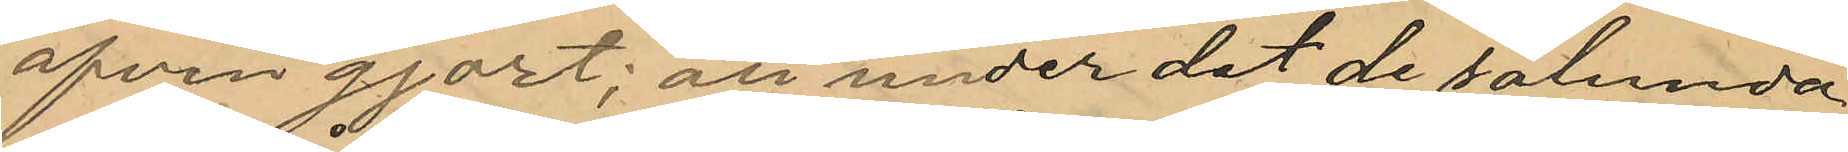äfven gjort; att under det de sålunda
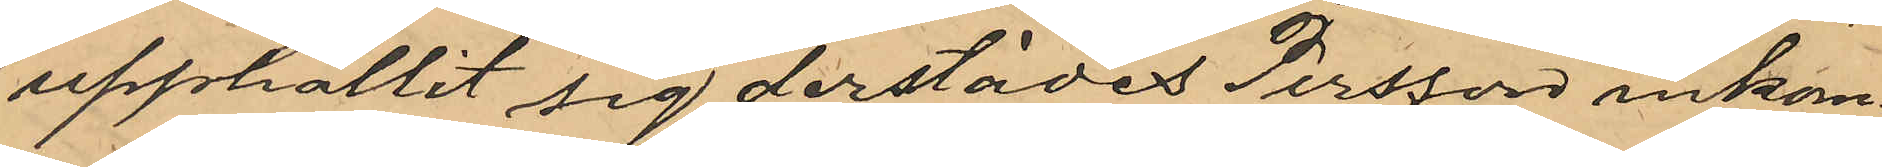uppehållit sig derstädes Persson inkom¬
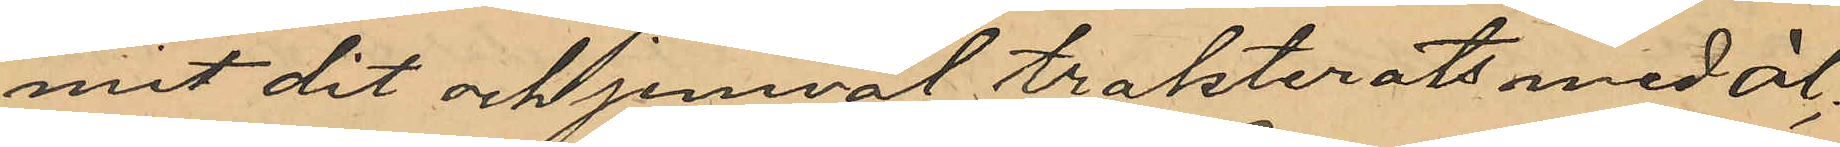mit dit och jemväl trakterats med öl,
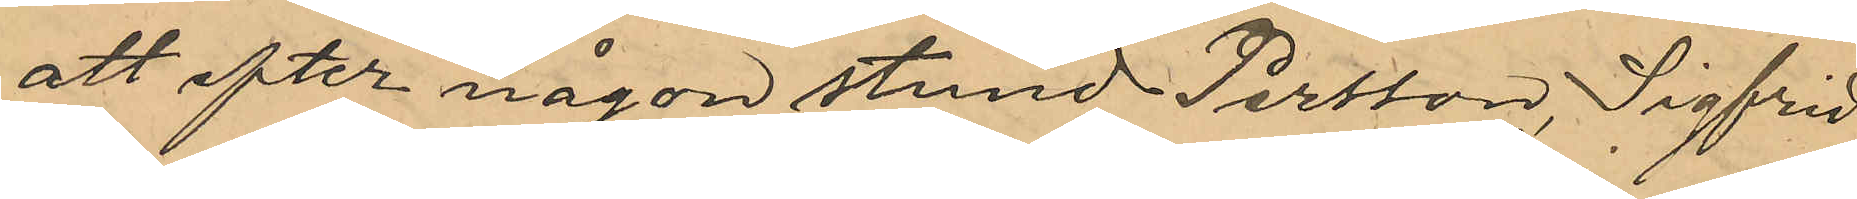att efter någon stund Persson, Sigfrid
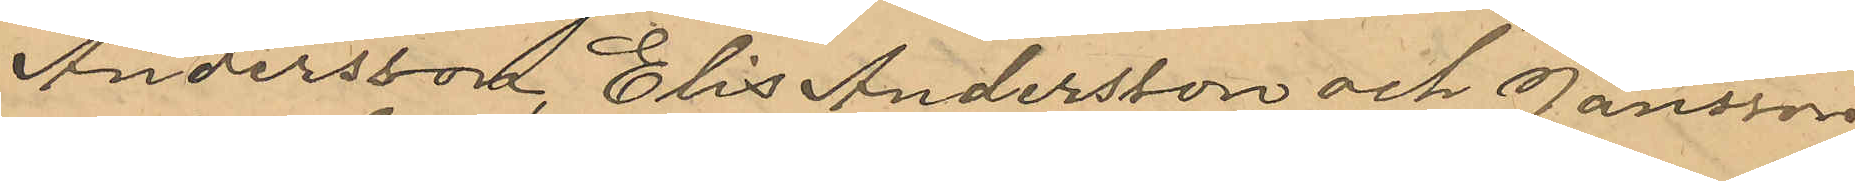Andersson, Elis Andersson och Jansson
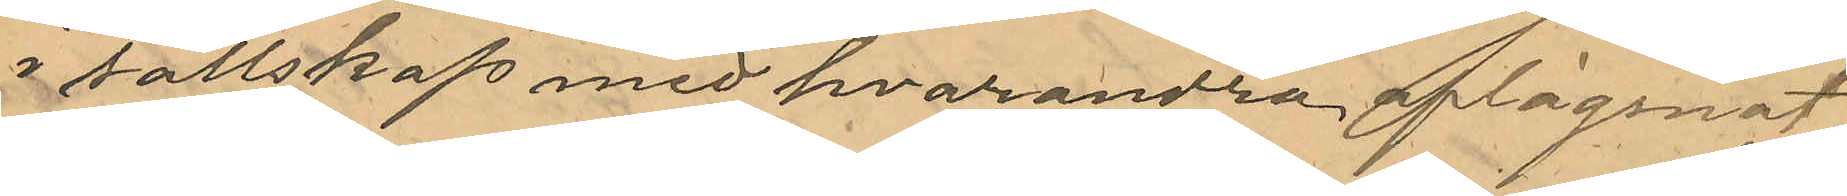i sällskap med hvarandra aflägsnat
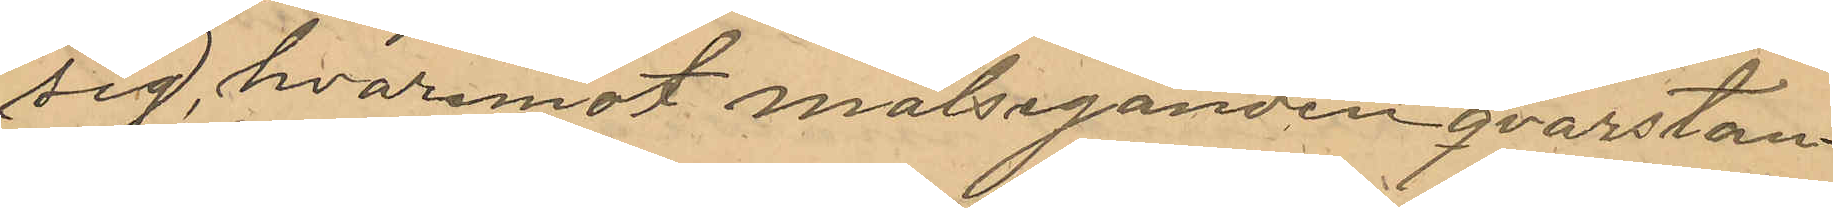sig, hvaremot målseganden qvarstan¬
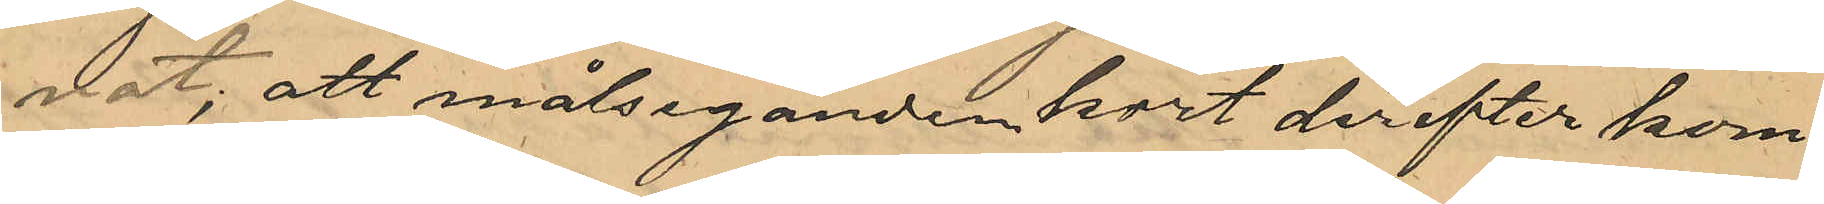nat, att målseganden kort derefter kom¬
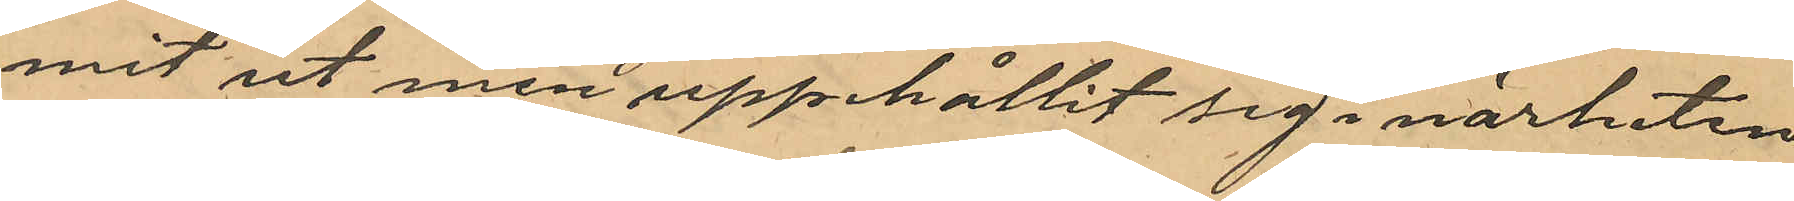mit ut men uppehållit sig i närheten
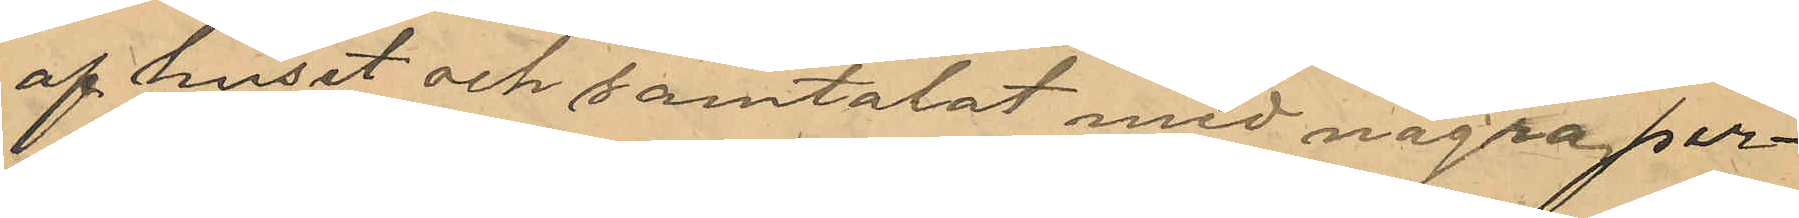af huset och samtalat med några per¬
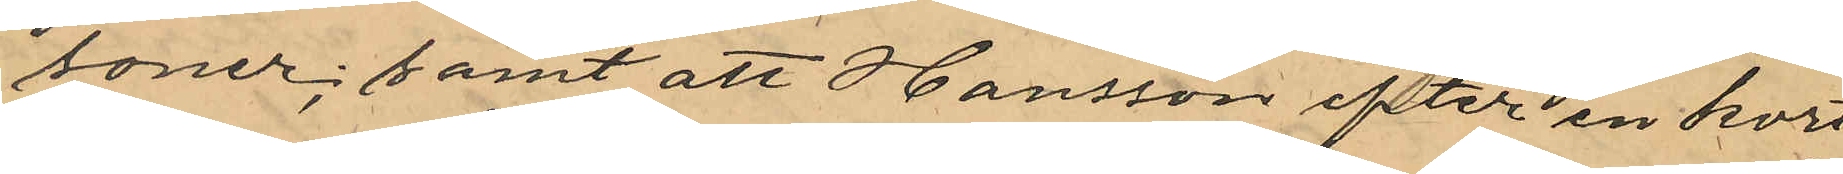soner; samt att Hansson efter en kort
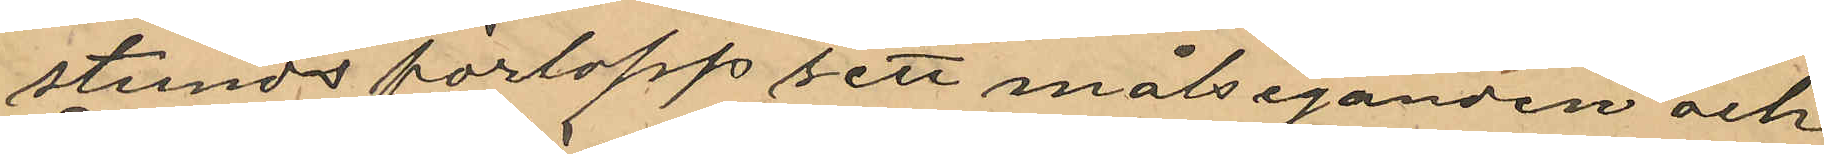stunds förlopp sett målseganden och
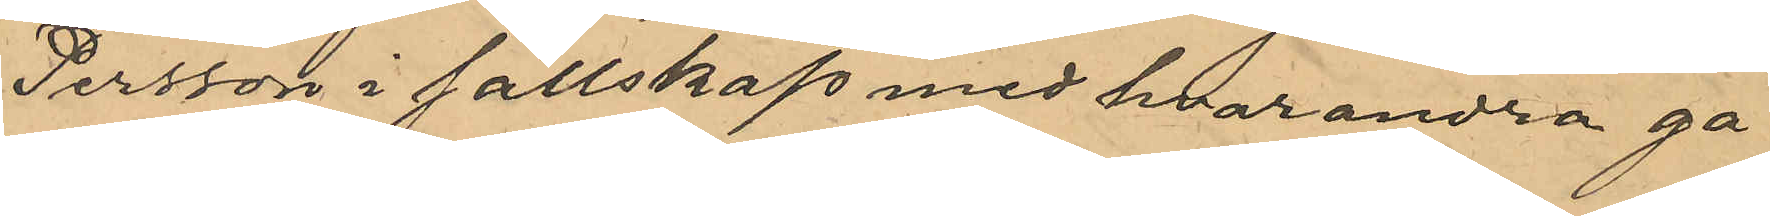Persson i sällskap med hvarandra gå
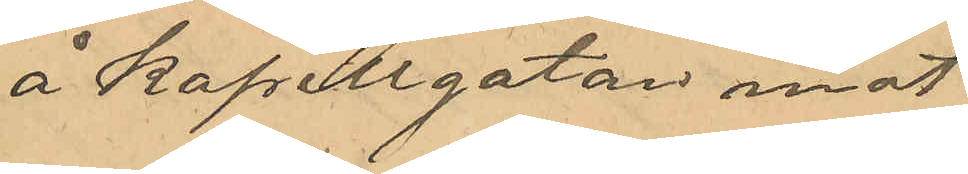å Kapellgatan mot
